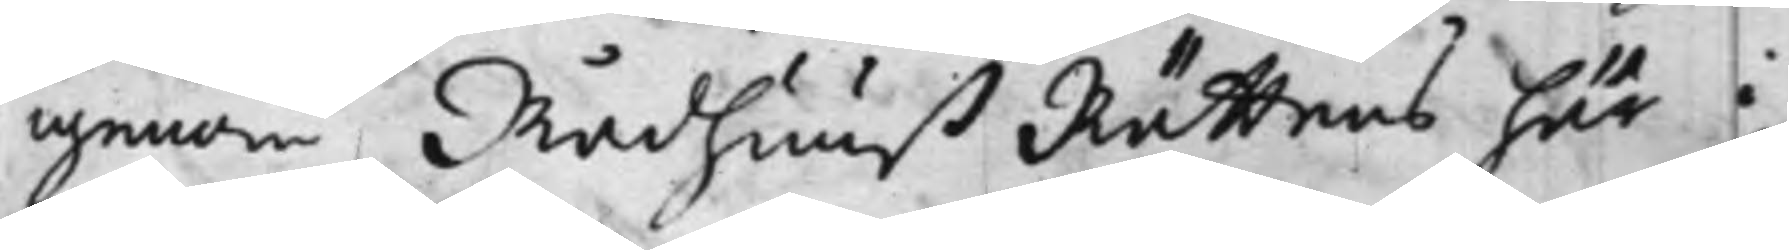genom Rådhuuß Rättens här i
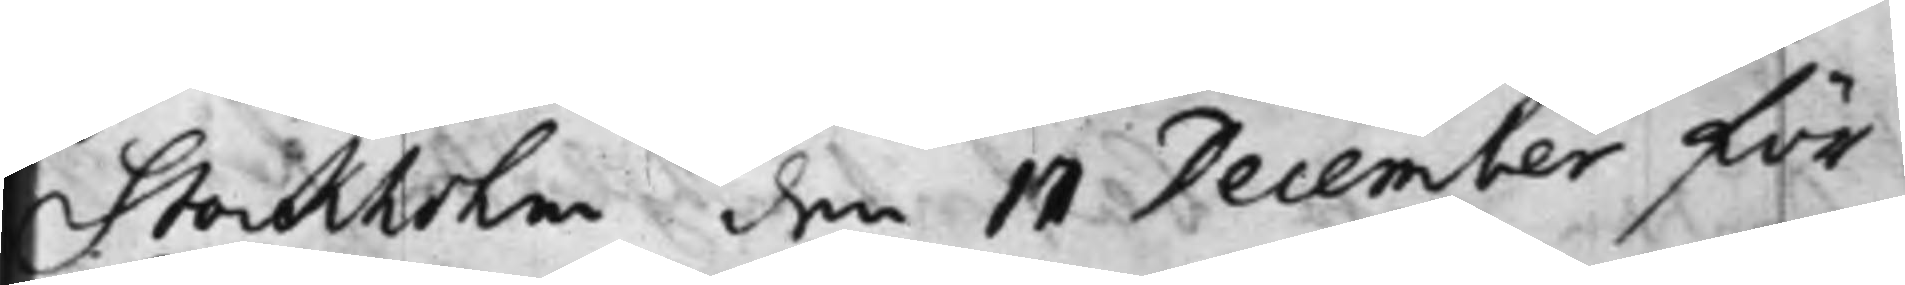Stockholm den 17 December för¬
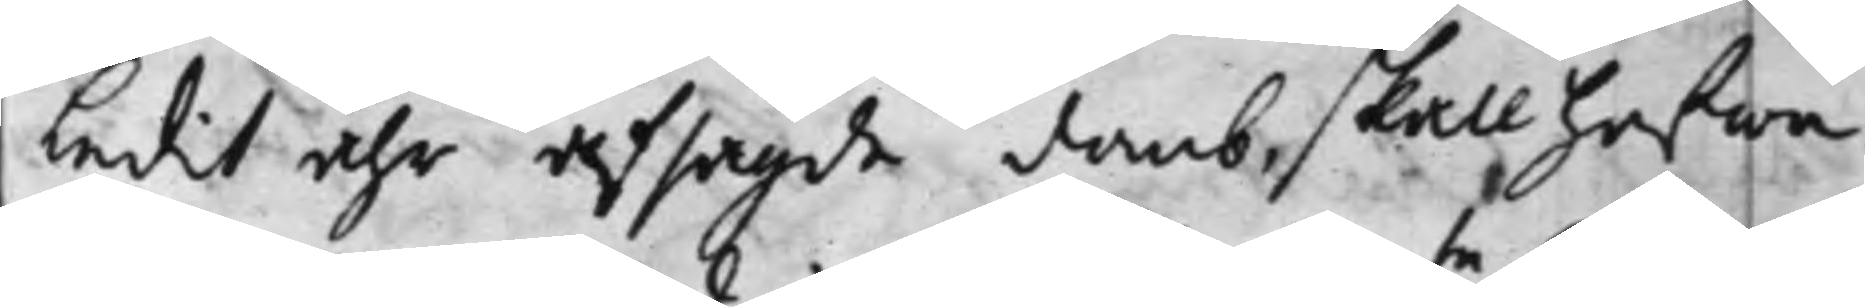ledit åhr afsagde domb, skall hafwa
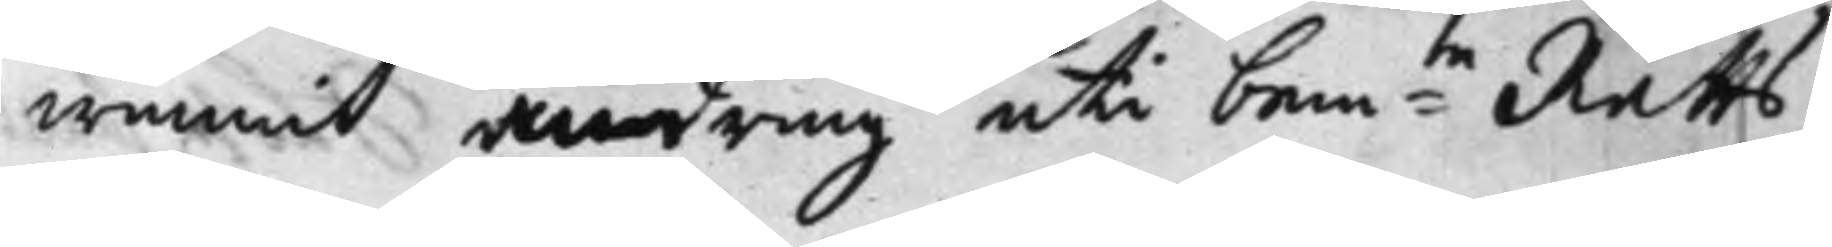wunnit ändring uti bem:te Rätts
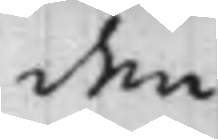den
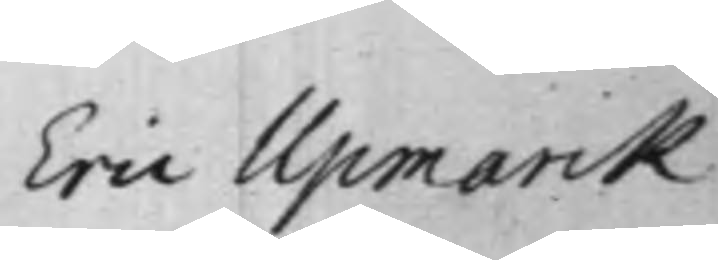Eric Upmark
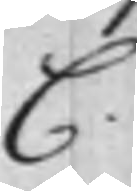C.
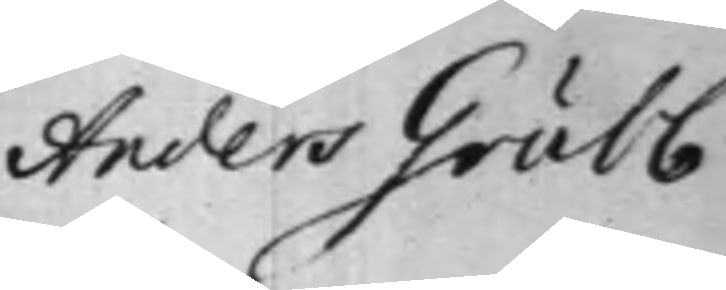Anders Grubb
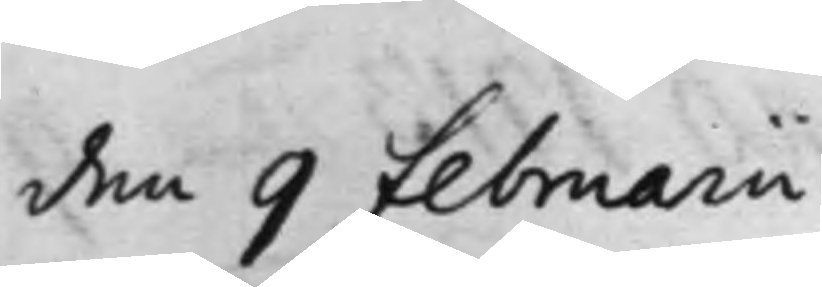den 9 Februarii
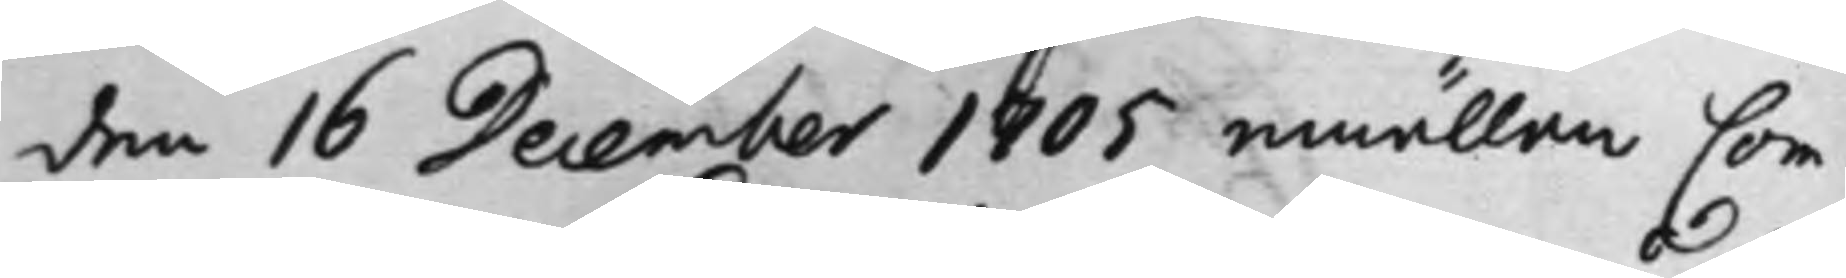den 16 December 1705 emällan Com¬
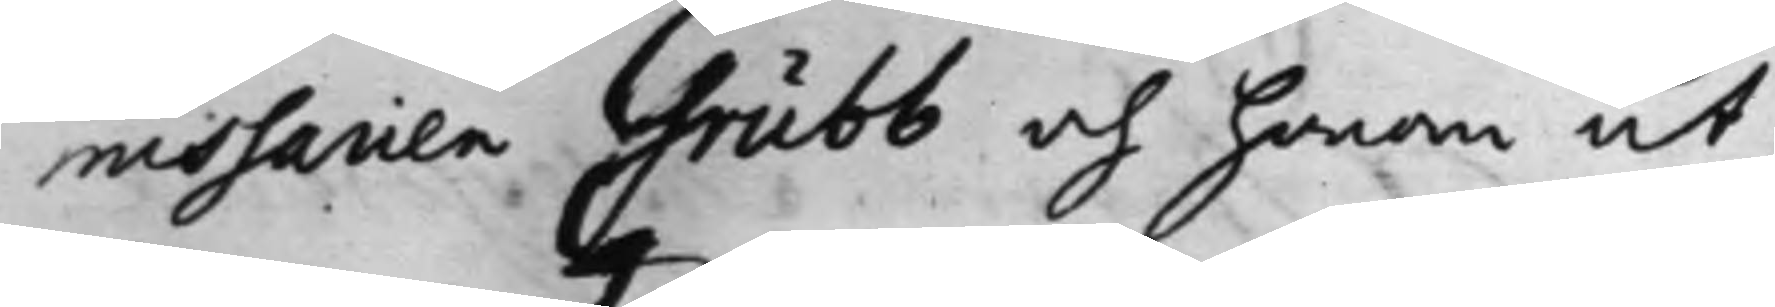missarien Grubb och honom ut¬
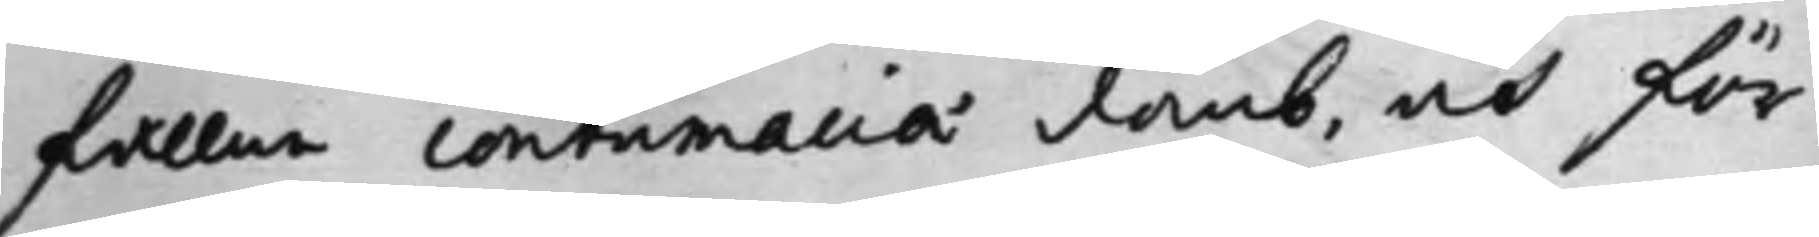fallne contumacia domb, och för¬
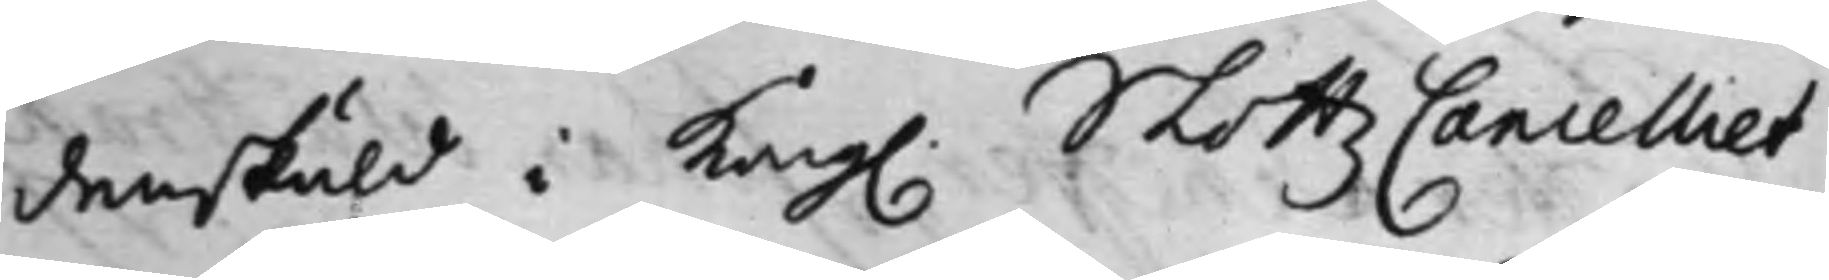denskuld i Kong. Slottz Canzelliet
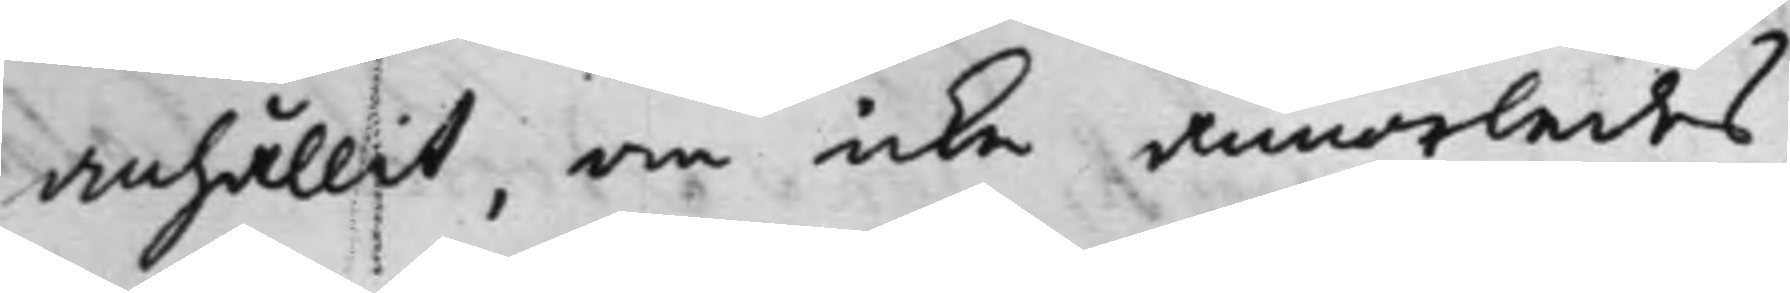anhållit, om icke annorledes,
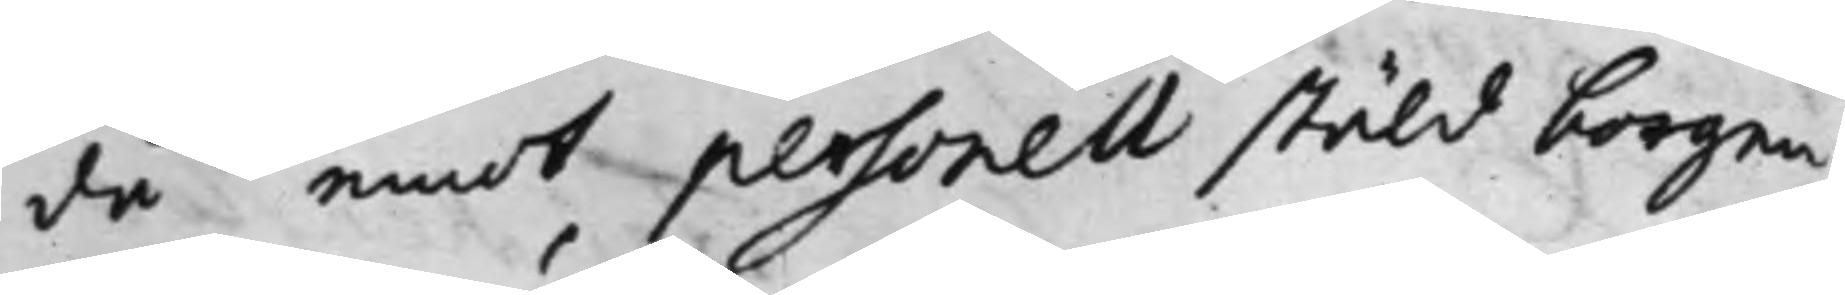då emot personell stäld borgen
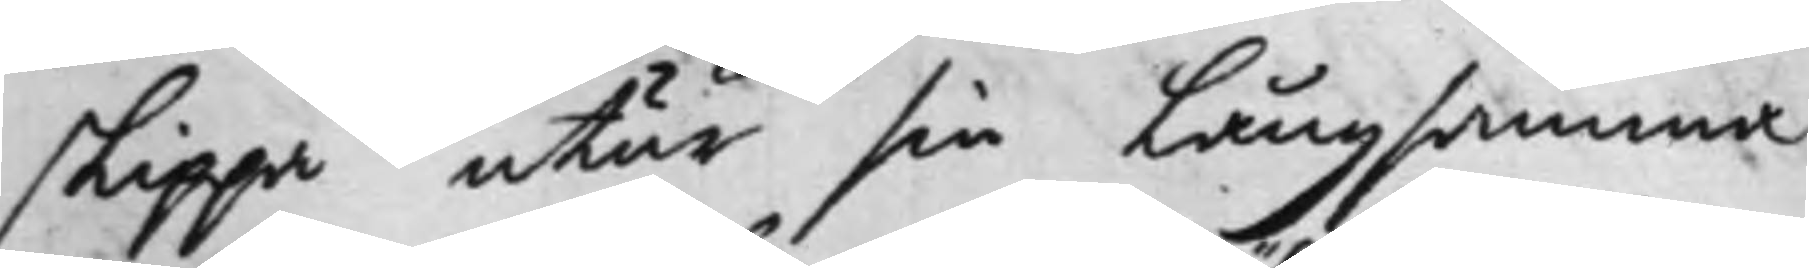slippa utur sin långsamma
